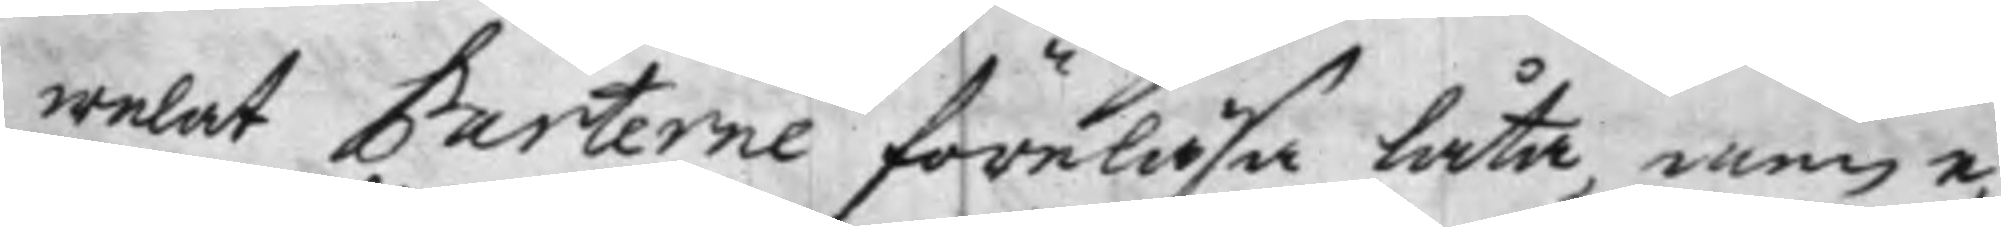welat Parterne föreläsa låta, men e¬
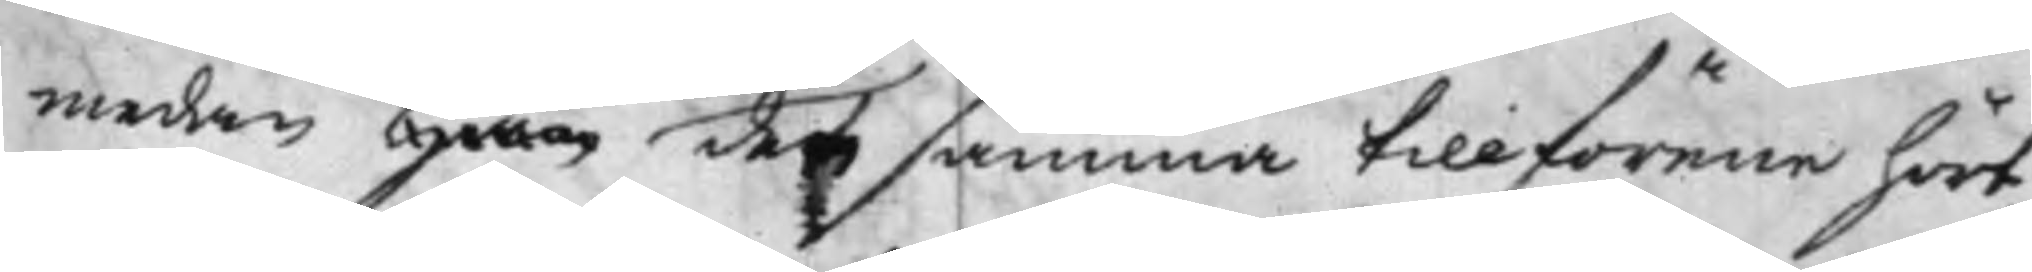medan Han densamma tillförene hört,
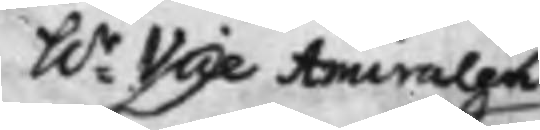hr Vice Amiralen
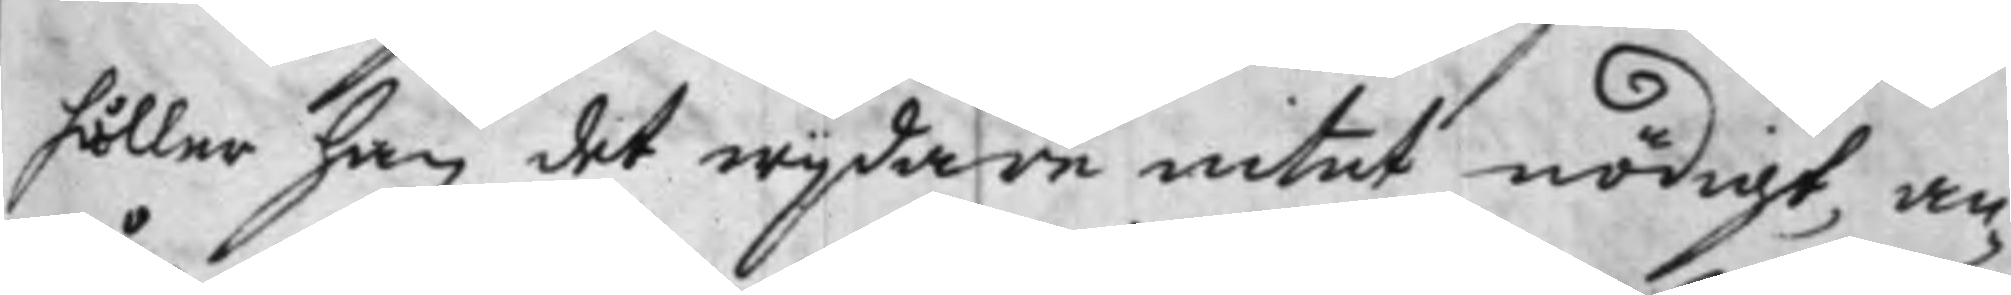håller han det wijdare intet nödigt, an¬
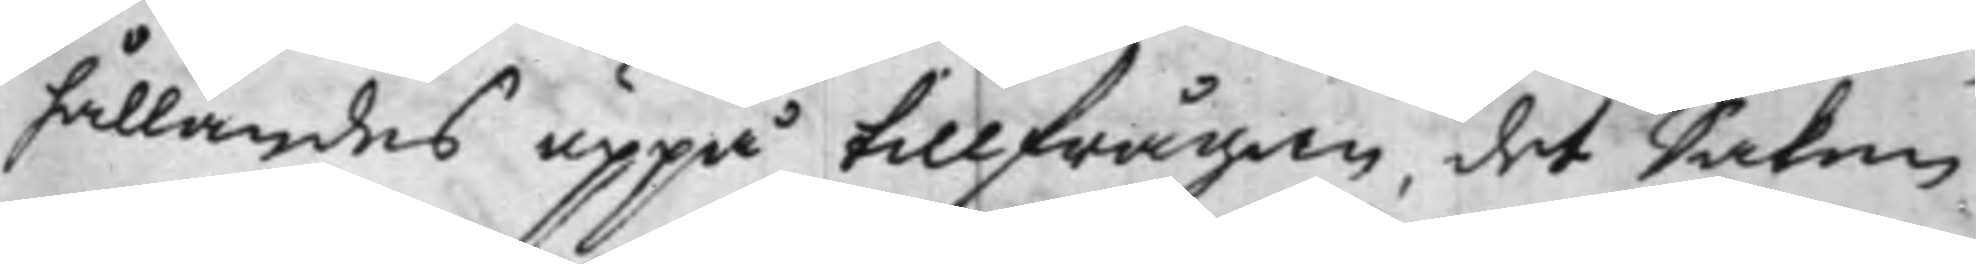hållandes uppå tillfrågan, det Saken
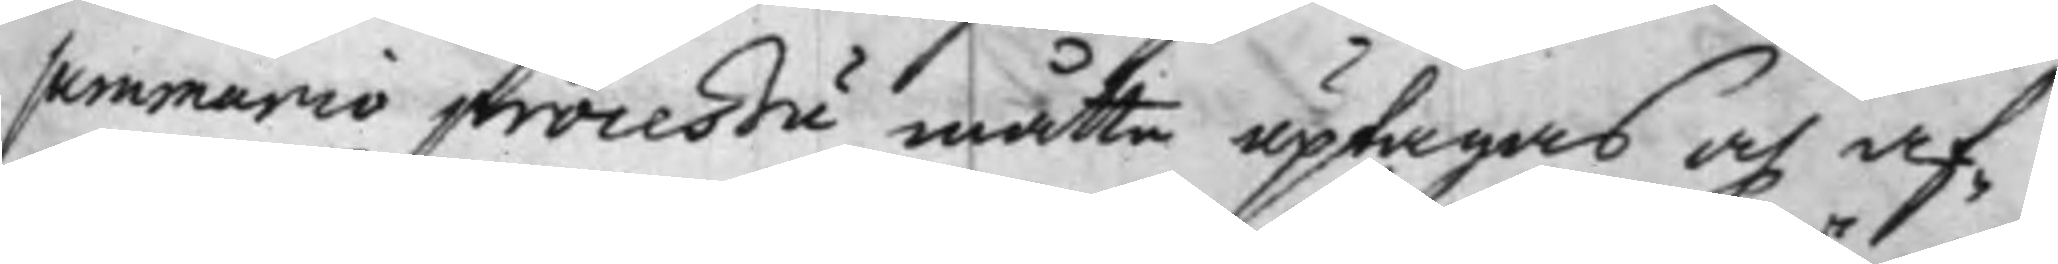summario proceßu måtte uptagas och af¬
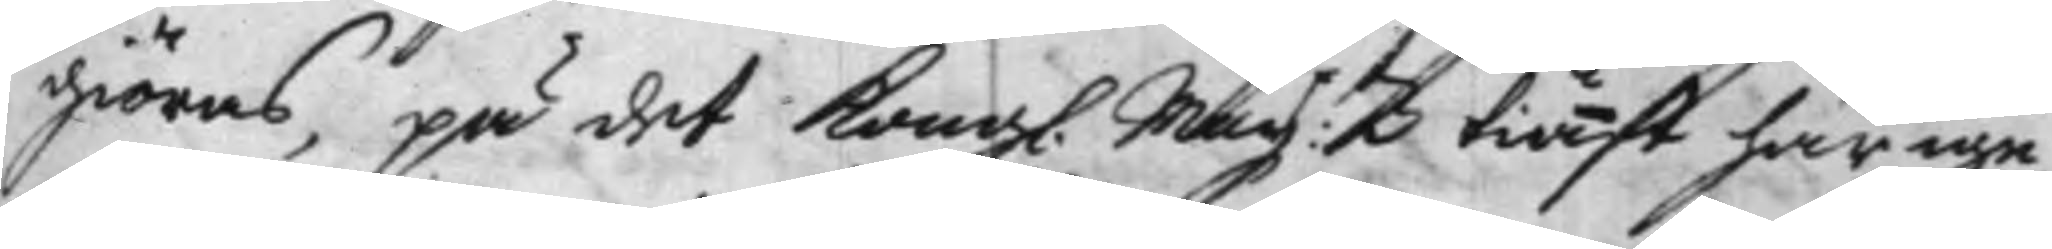giöras, på det Kongl. Maij:tz tiänst härige¬
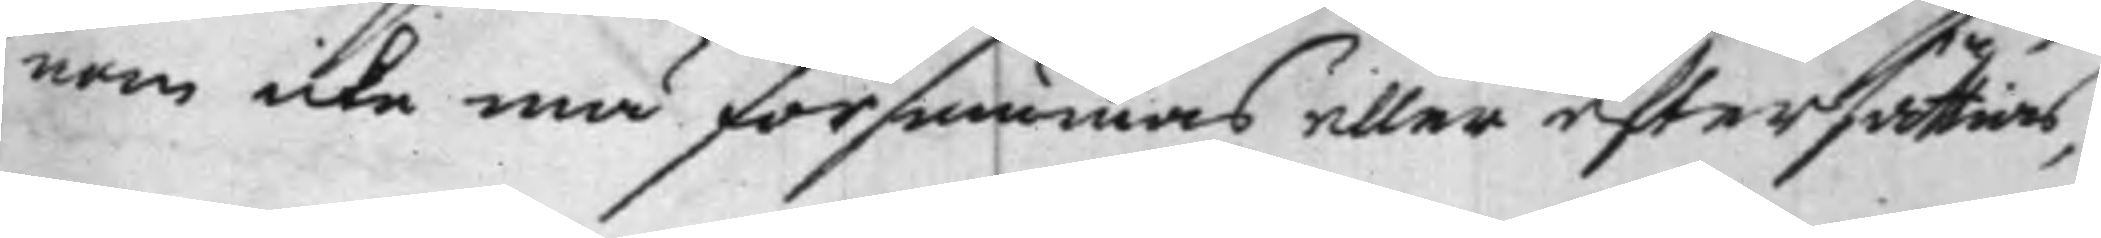nom icke må försummas eller eftersättias,
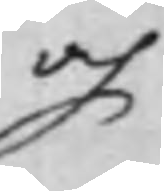och
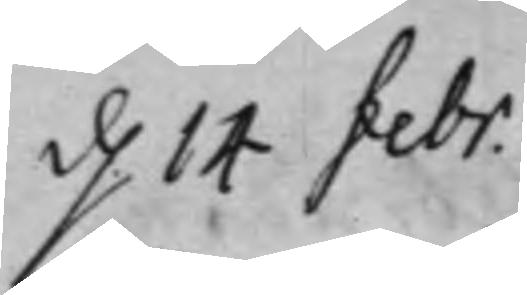d. 14 febr.
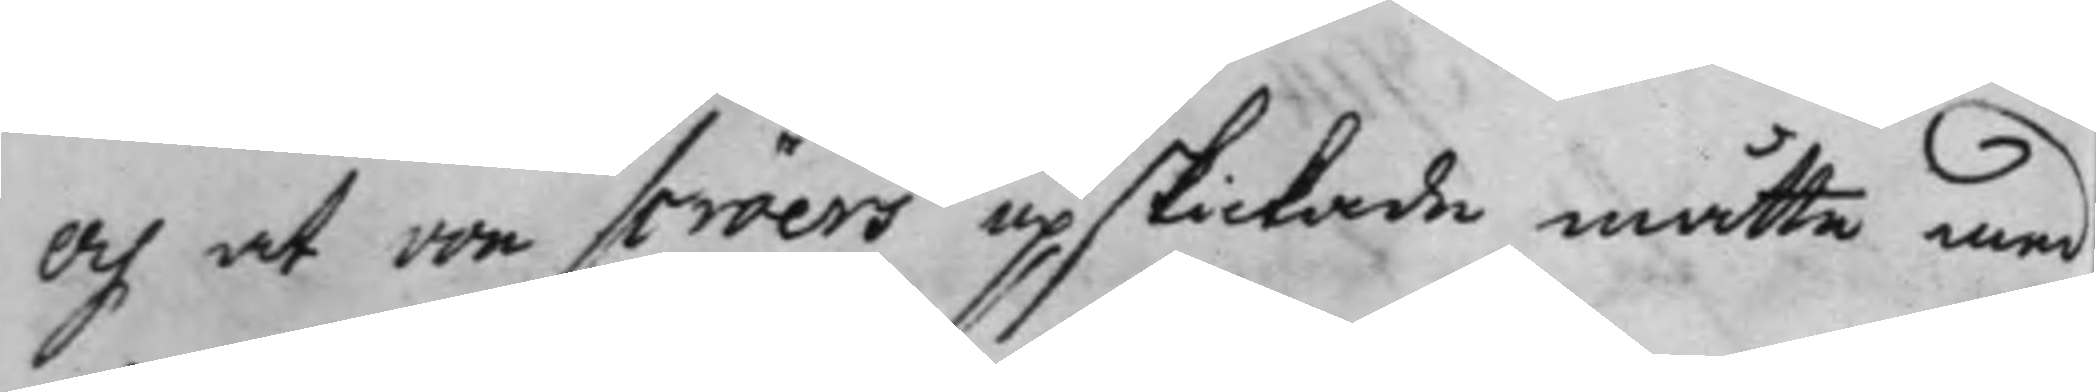och at von Scröers upskickade måtte med
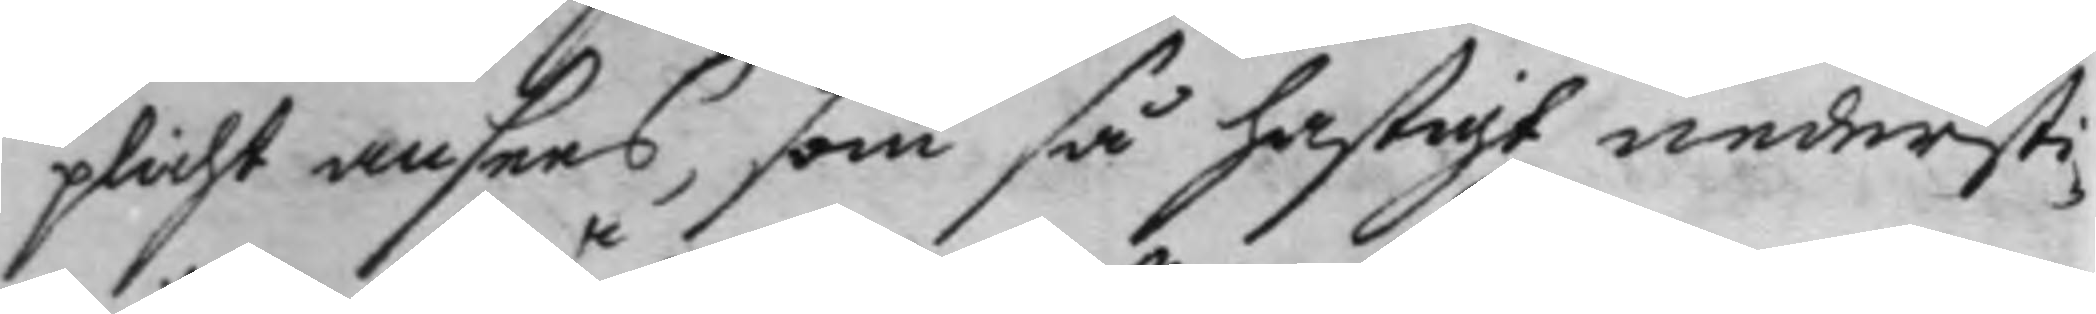plicht ansees, som så hastigt nedersti¬
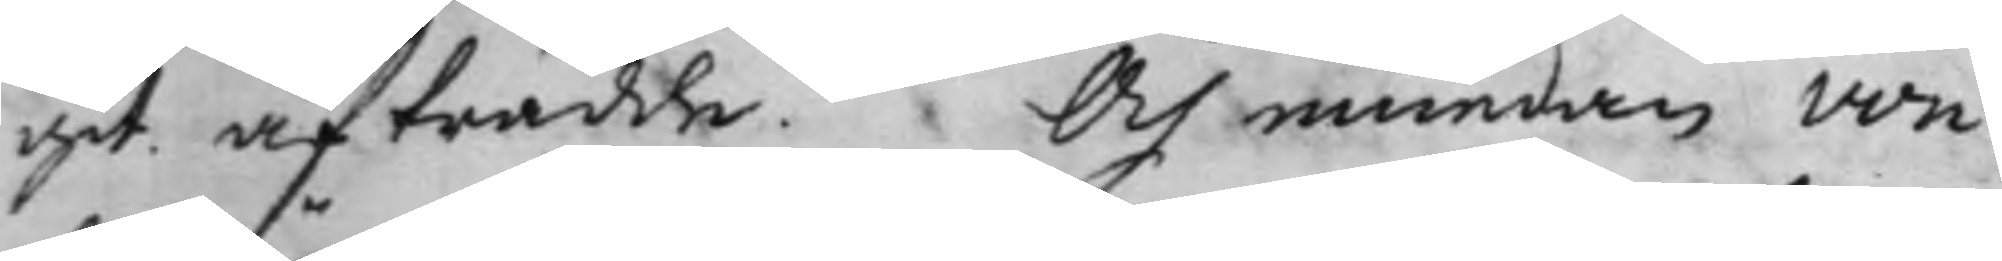git. afträdde. Och emedan von
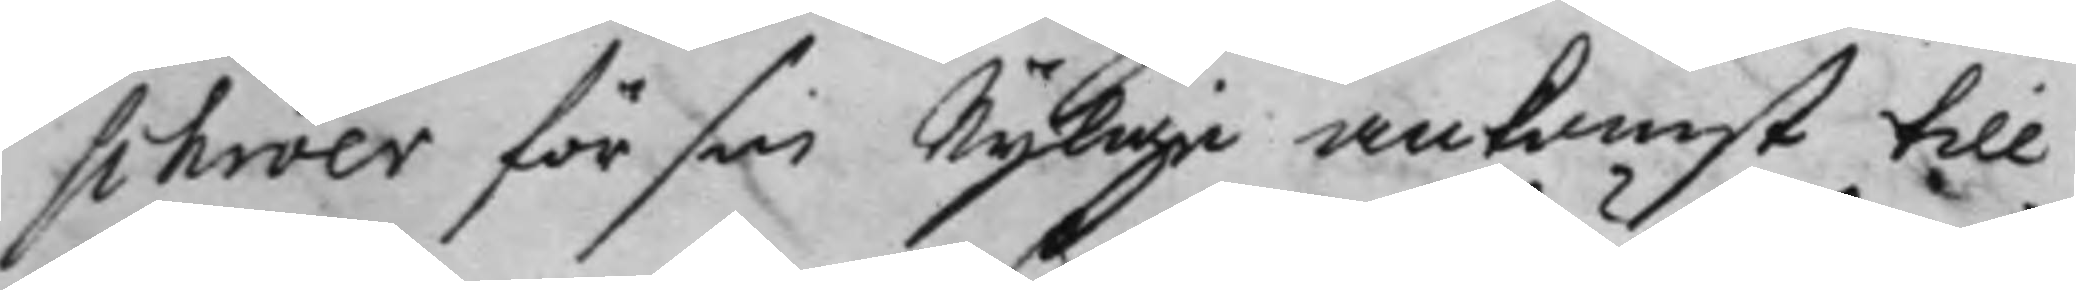Schröer för sin Nylige ankomst till
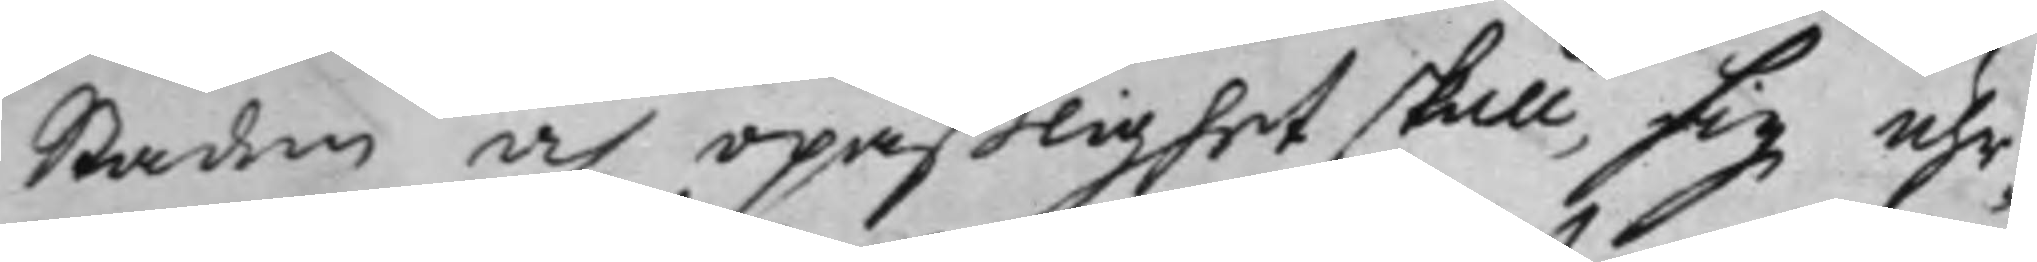Staden och opaßlighet skull, sig uhr¬
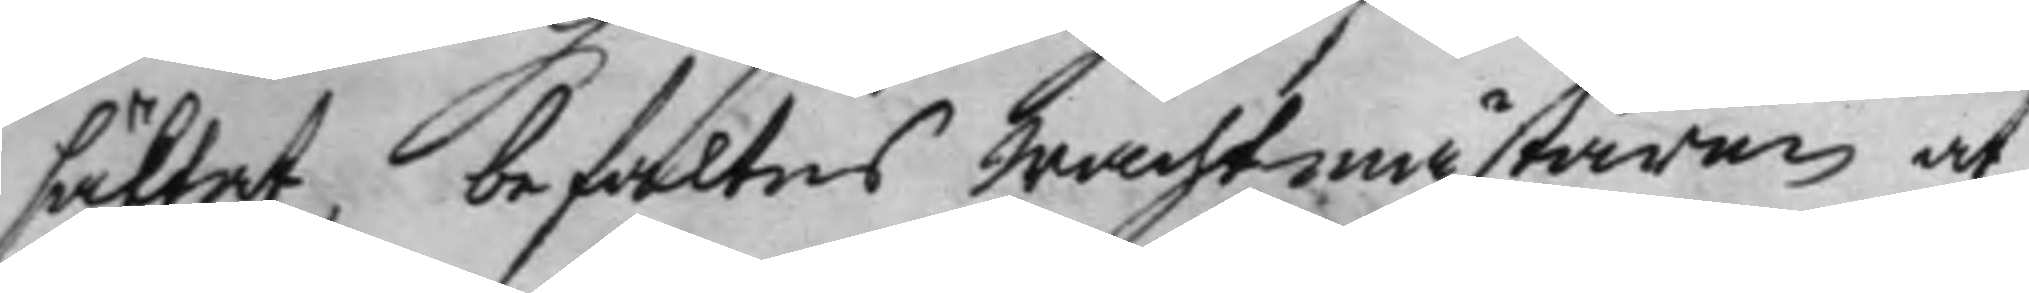säktat, befaltes wachtmästaren at
